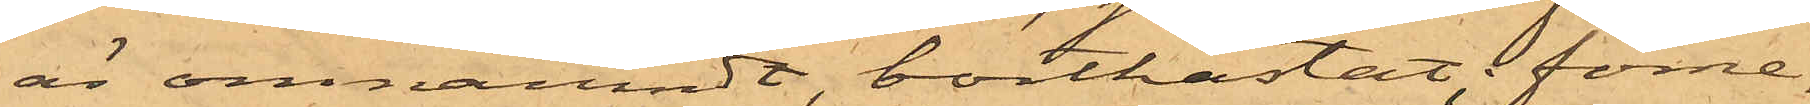är omnämndt, bortkastat, förne¬
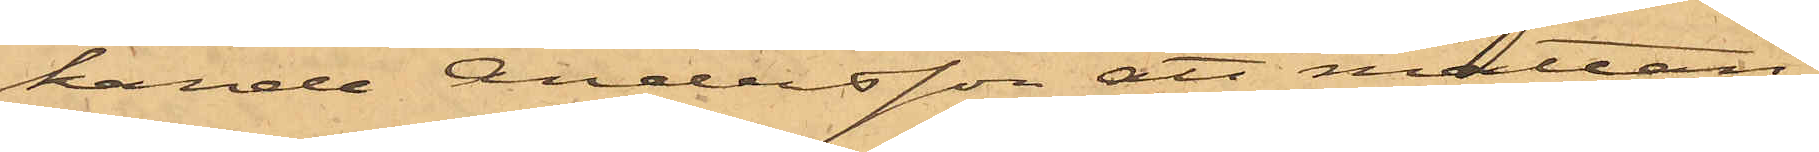kande Andersson att mattan
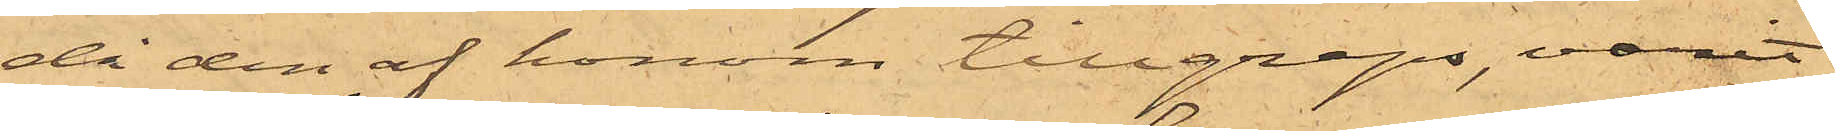då den af honom tillgreps, varit
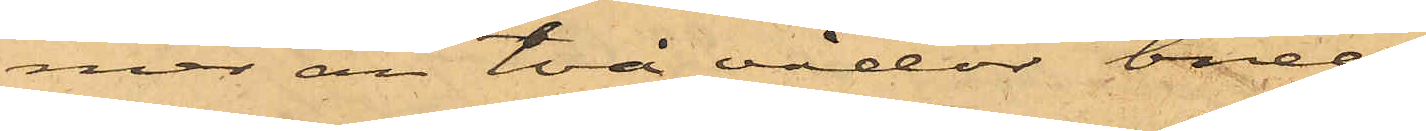mer än två vådor bred.
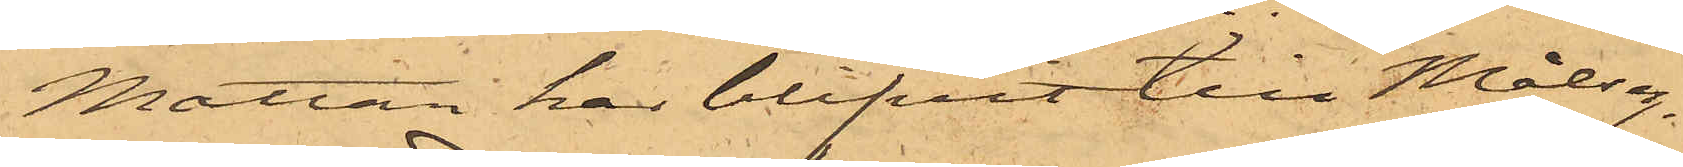Mattan har blifvit till Målseg.
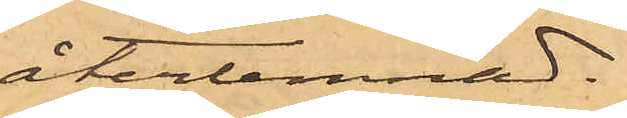återlemnad.
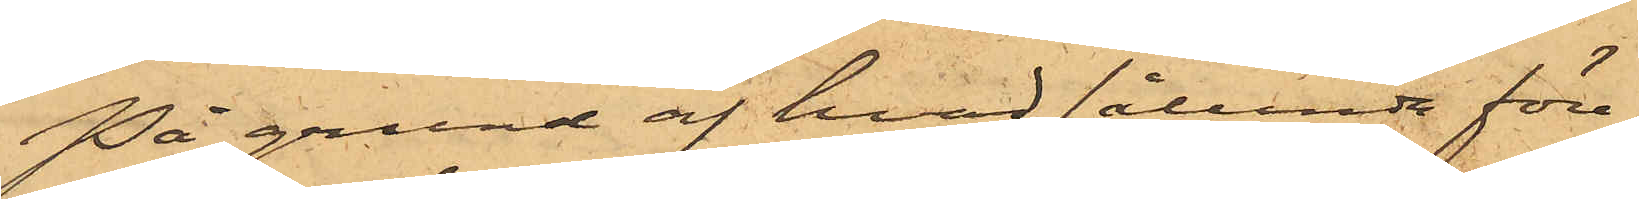På grund af hvad sålunda före¬
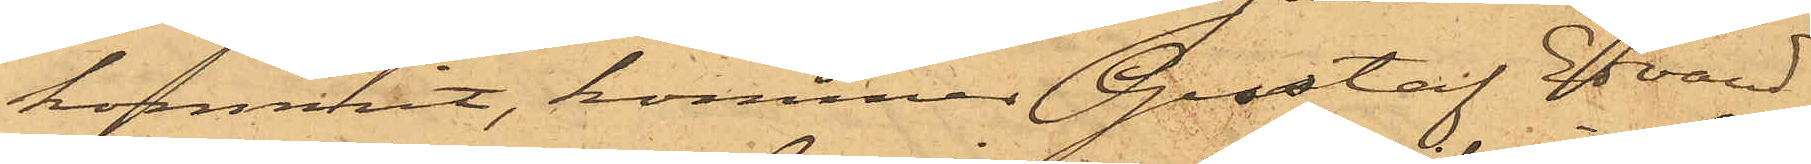kommit, kommer Gustaf Edvard
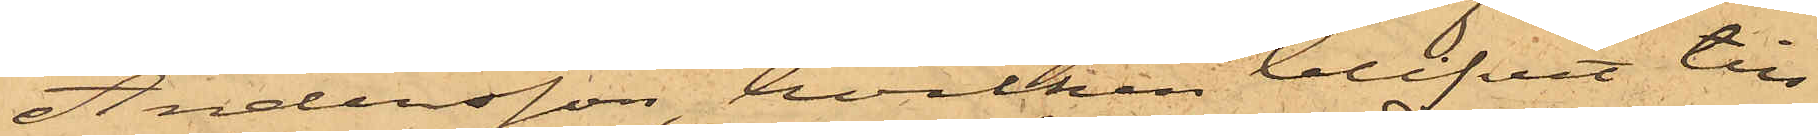Andersson, hvilken blifvit till
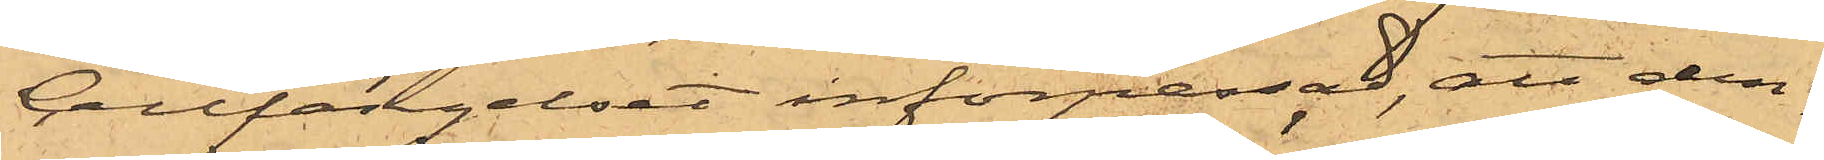Cellfängelset införpassad, att den¬
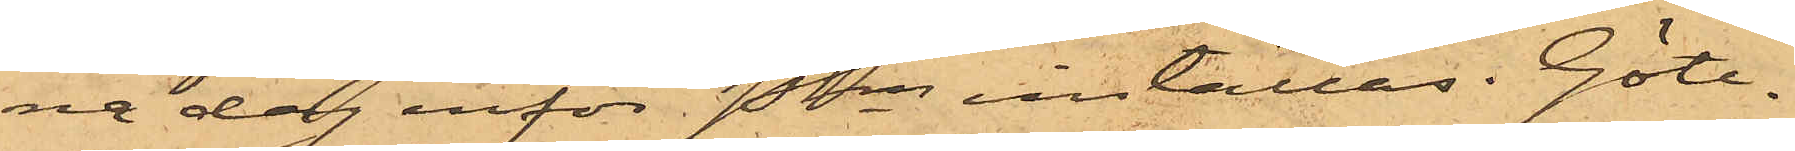na dag inför Pkn inställas. Göte¬
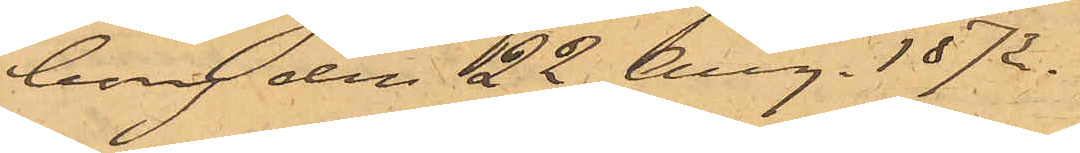borg den 22 Aug. 1872.
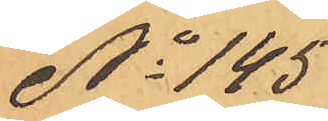No 145
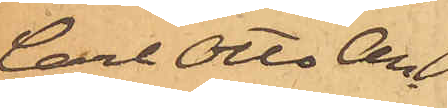Carl Otto An¬
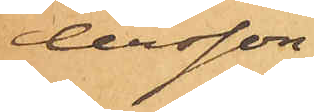dersson
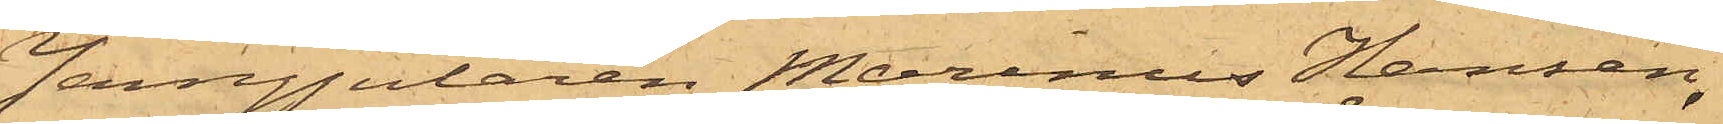Jerngjutaren Marinus Hansen,
